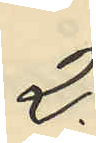2.
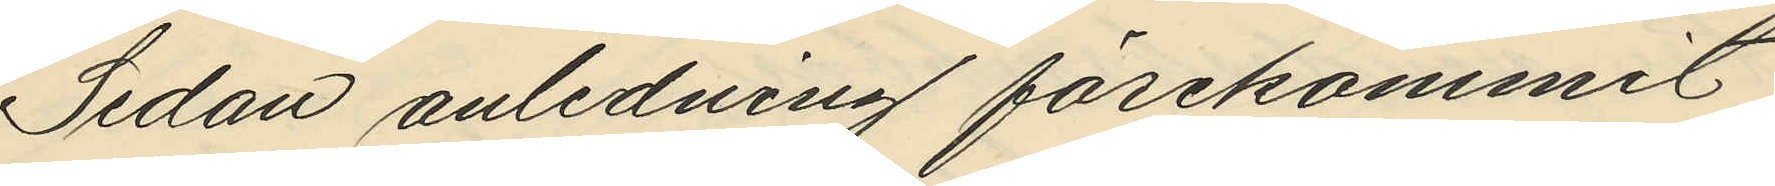Sedan anledning förekommit
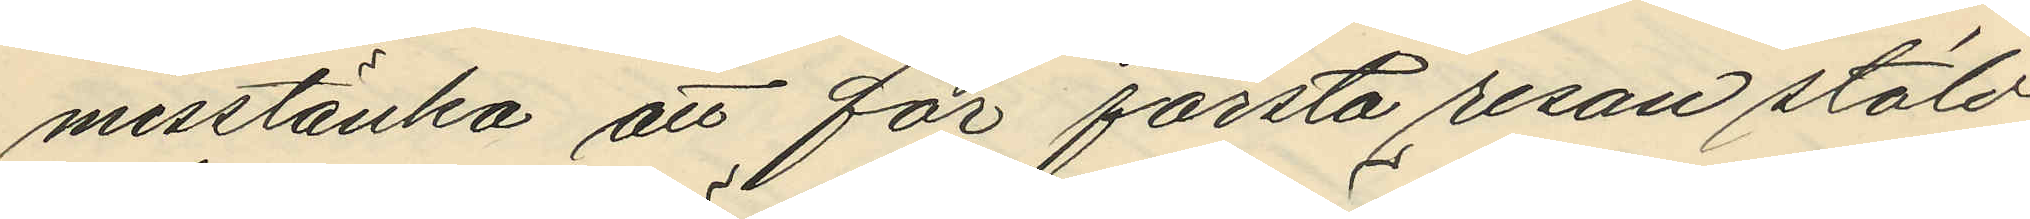misstänka att för första resan stöld
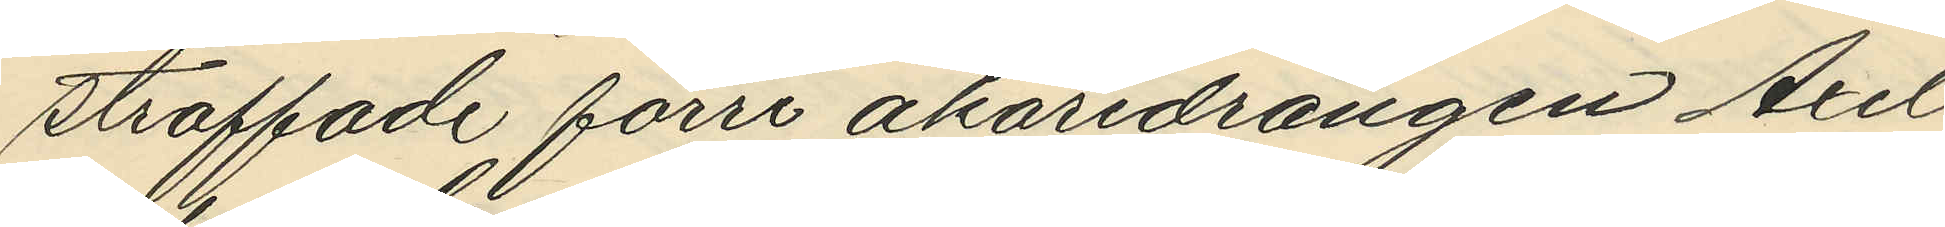straffade förre åkaredrängen Axel
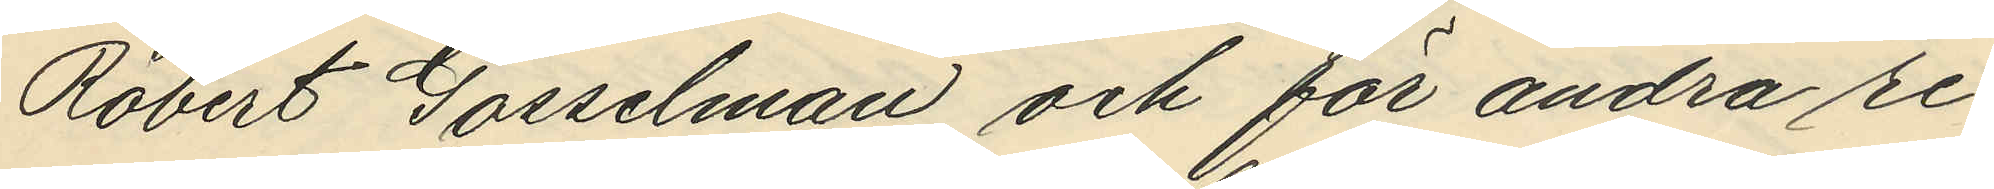Robert Gosselman och för andra re¬
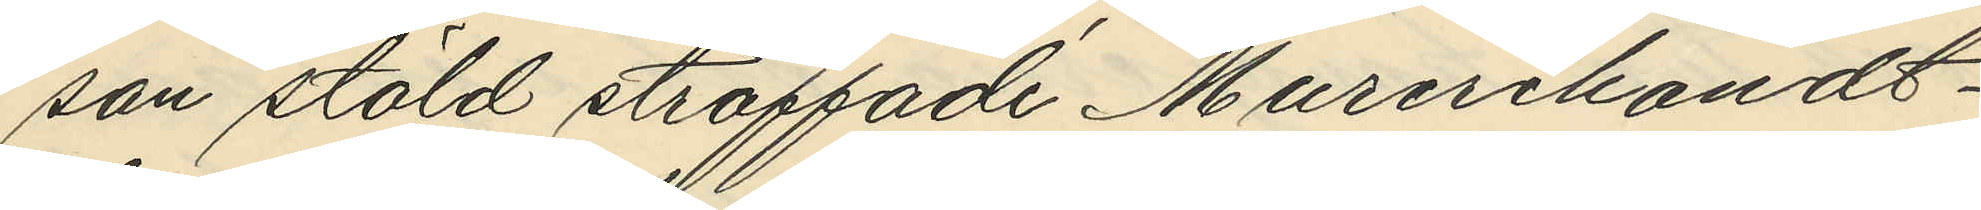san stöld straffade Murerihandt¬
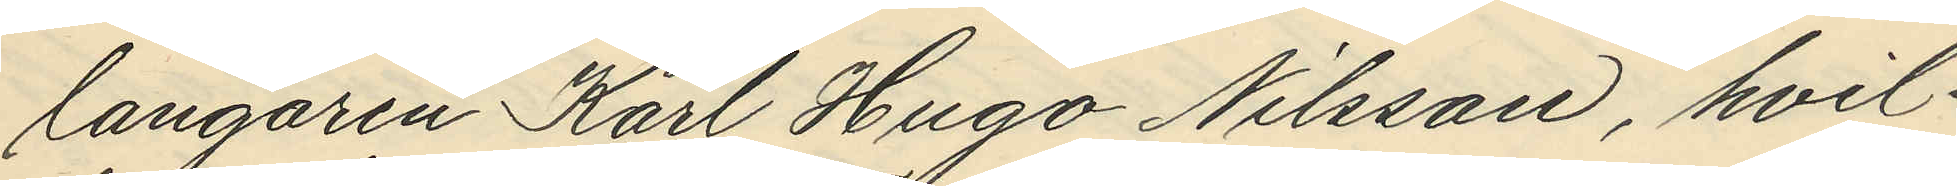langaren Karl Hugo Nilsson, hvil¬
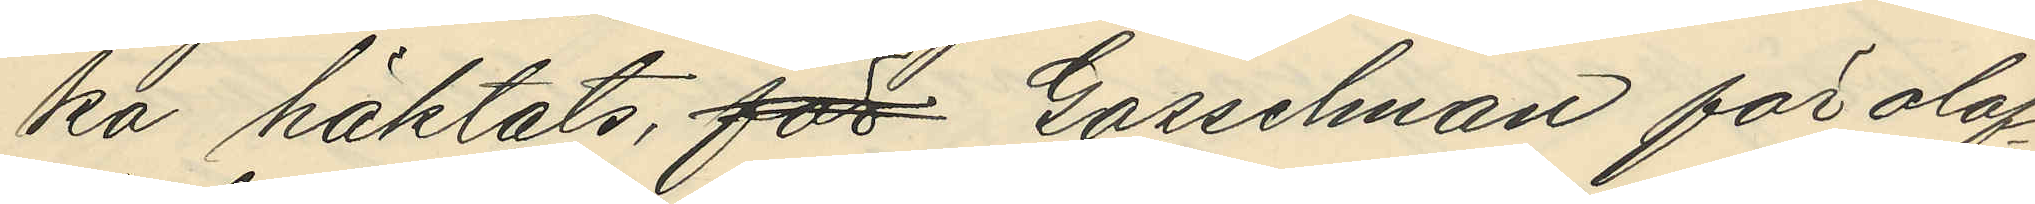ka häktats, för Gosselman för olof¬
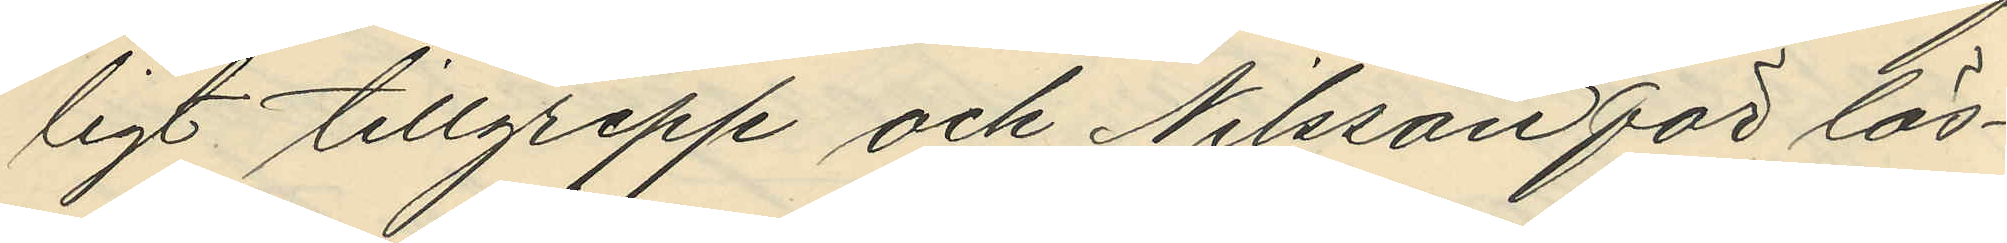ligt tillgrepp och Nilsson för lös¬
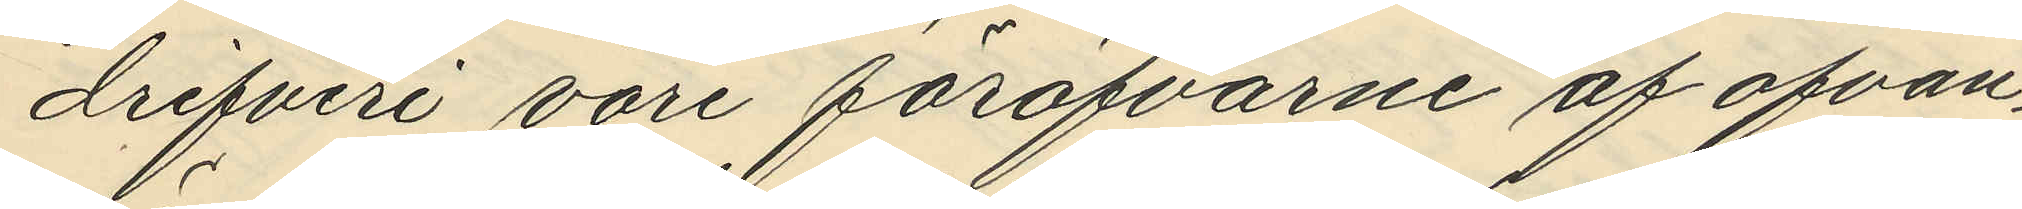drifveri vore föröfvarne af ofvan¬
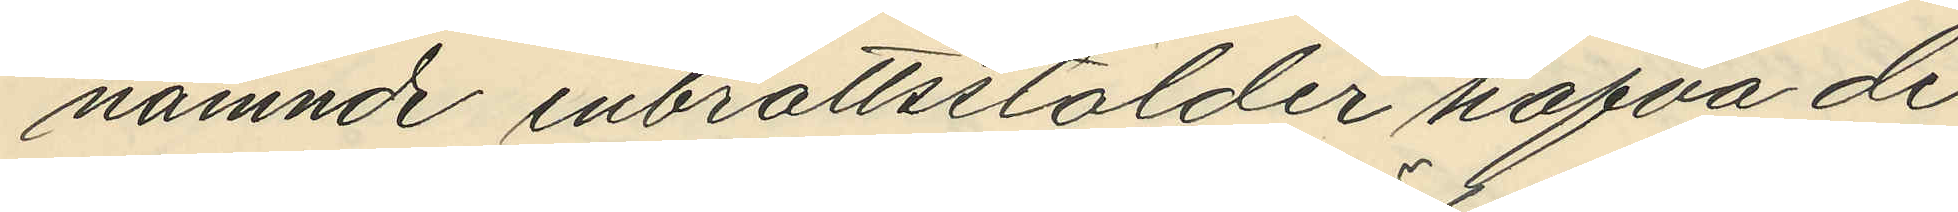nämnde inbrottsstölder hafva de
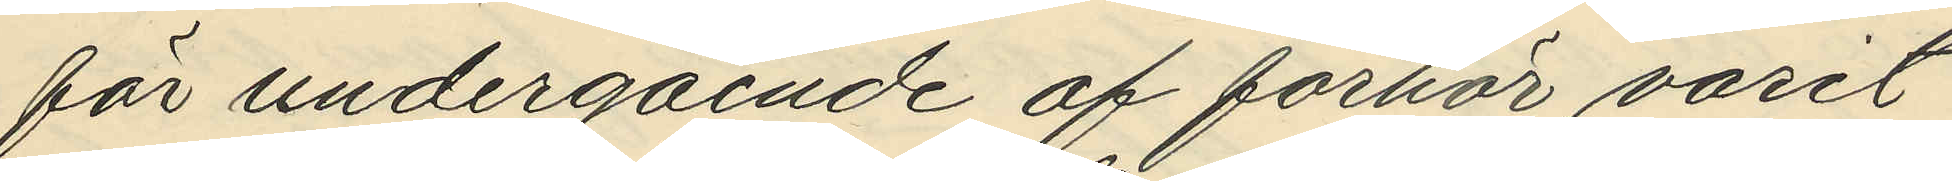för undergående af förhör varit
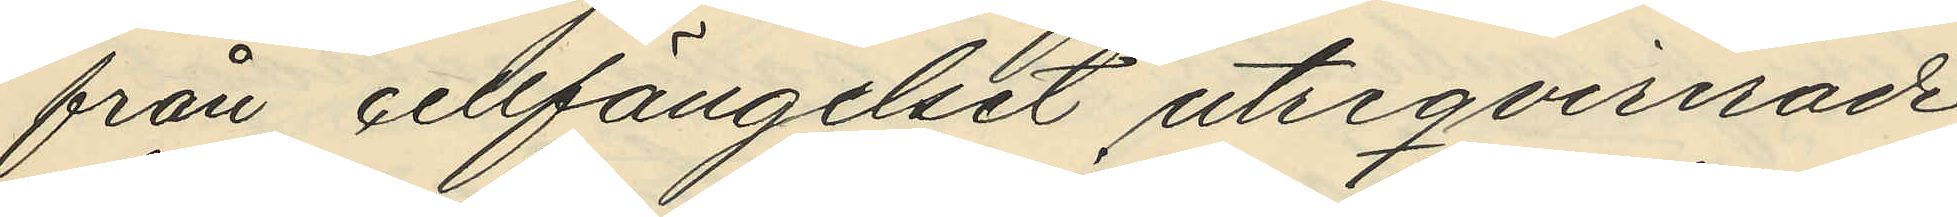från cellfängelset utreqvirerade
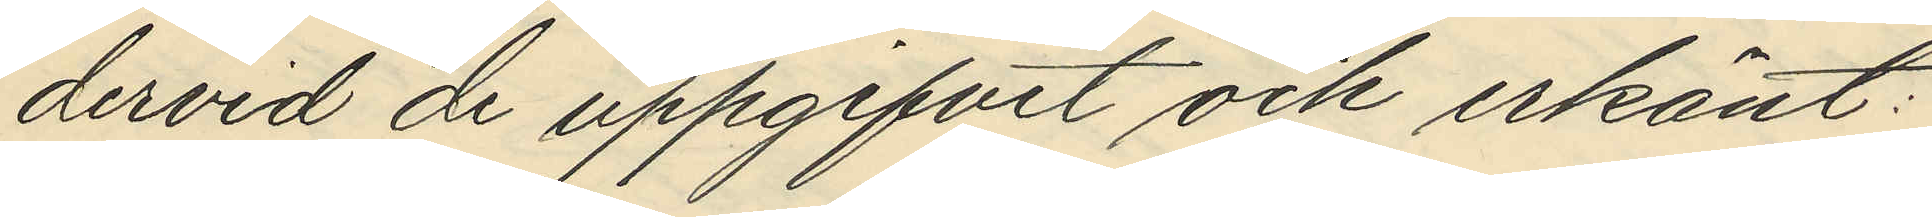dervid de uppgifvit och erkänt:
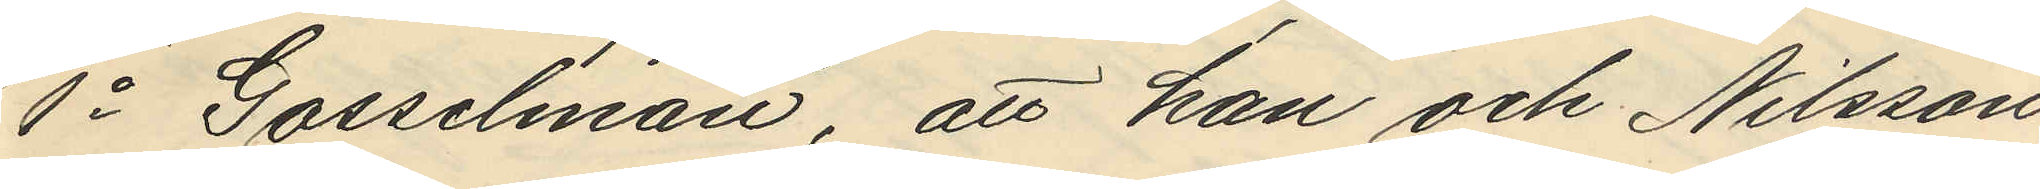1o Gosselman, att han och Nilsson
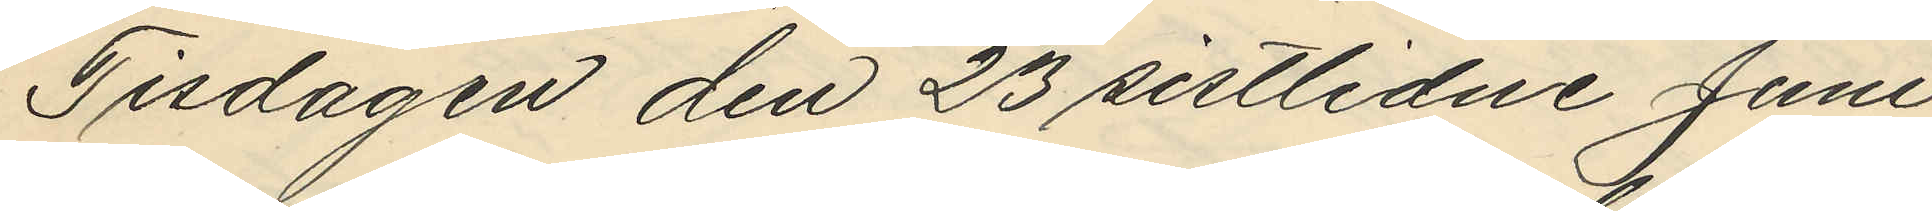Tisdagen den 23 sistlidne Juni
